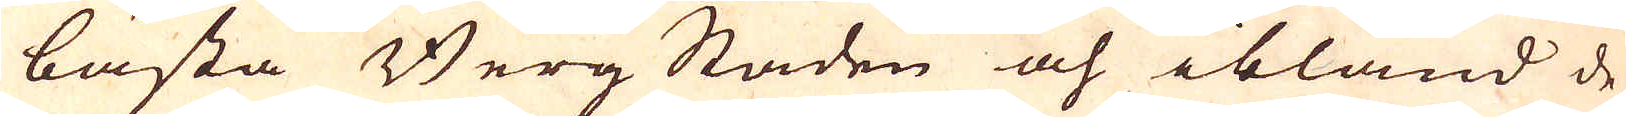bästa BergStaden och ibland de
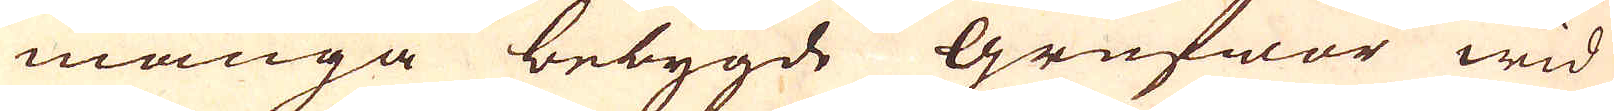många bebygde grufwor wid
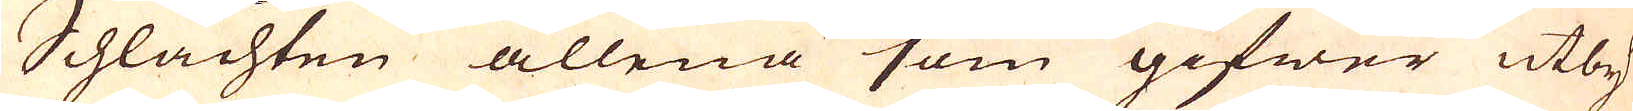Schlachten allena som gifwer utby-
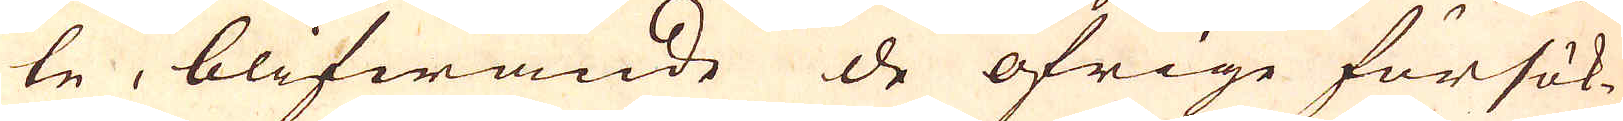te, blifwande de öfrige försök-
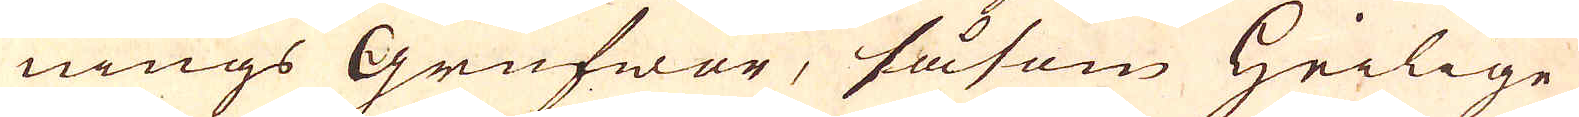nings Grufwor, såsom heilige
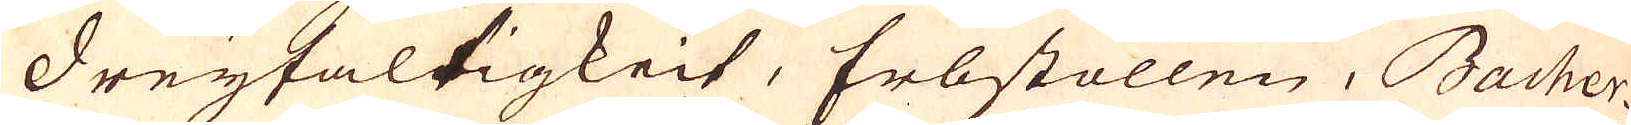dreyfaltigkeit, Erbstollen, Bacher-
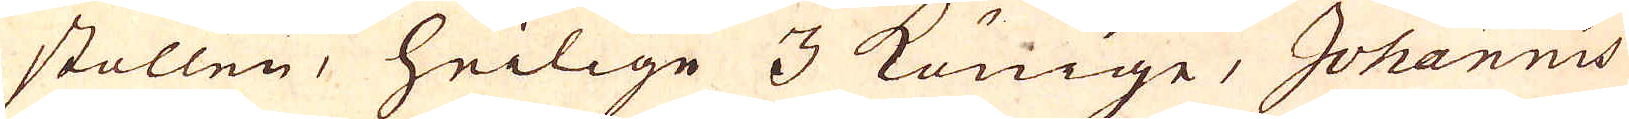stollen, heilige 3 Konige, Johannis
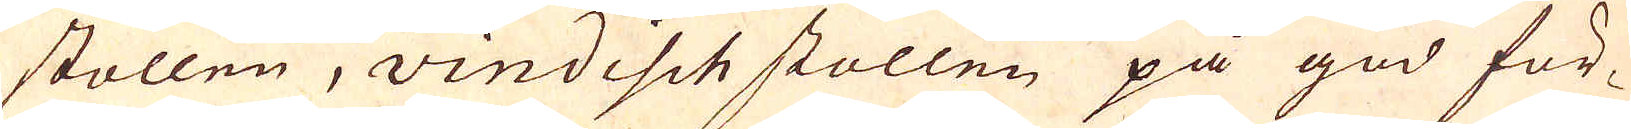stollen, vindisch stollen på god för-
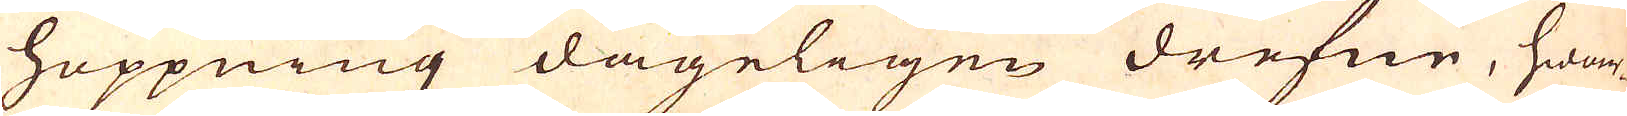hoppning dageligen drefen, hwar-
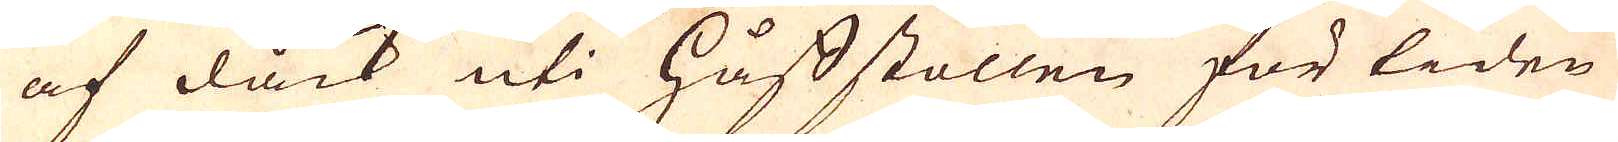af dåck uti håfstollen för tiden
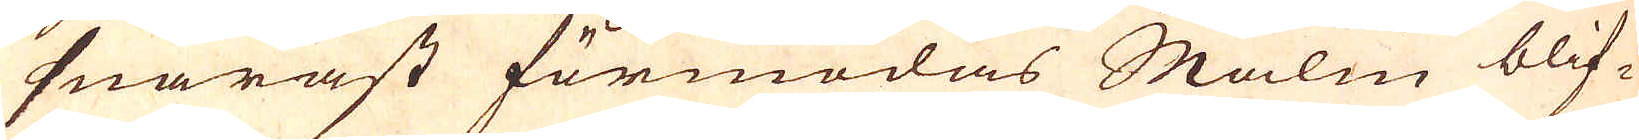snarast förmodas Malm blif-
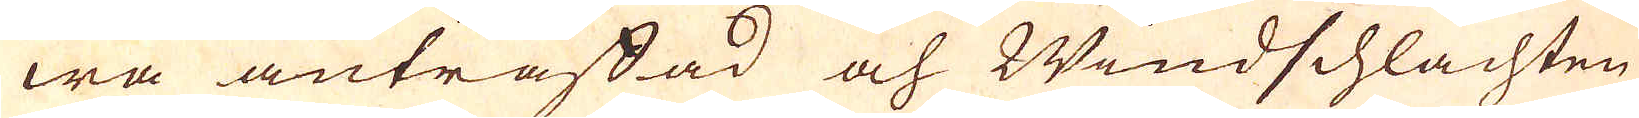wa anträffad och Windschlachten
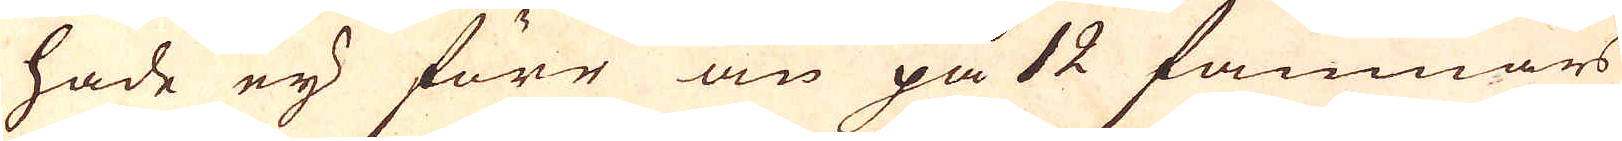hade eij förr än på 12 famnars
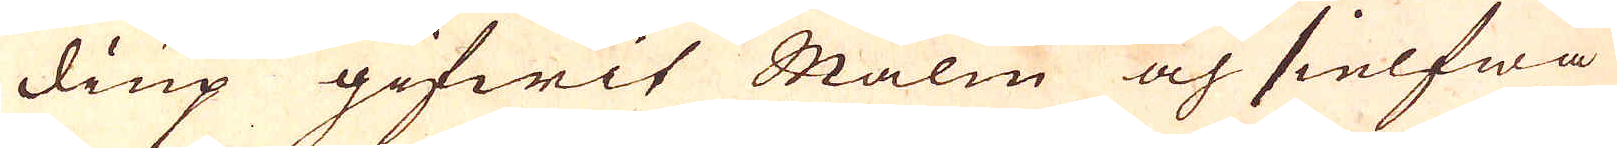diup gifwit Malm och sielfwa
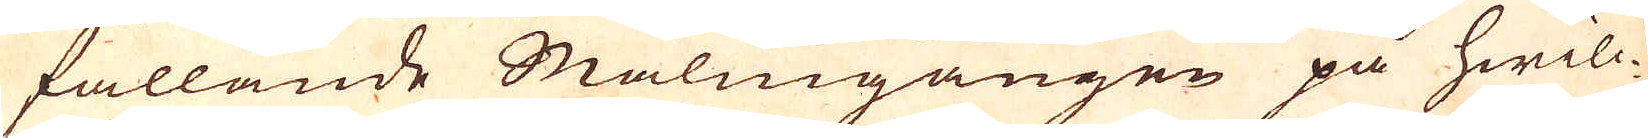fallande Malmgången på hwilc-
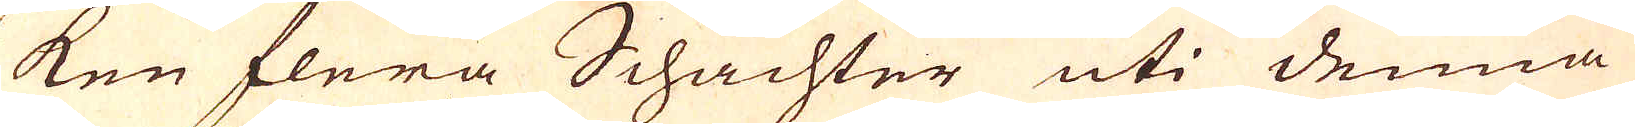ken flera Schachter uti denna
